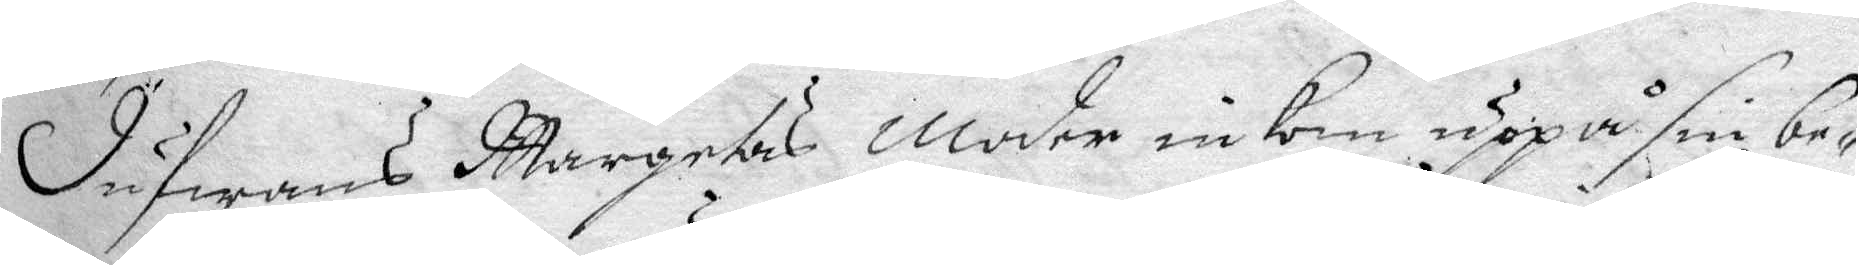Dufwans Margetas Moder inkom uppå sin be¬
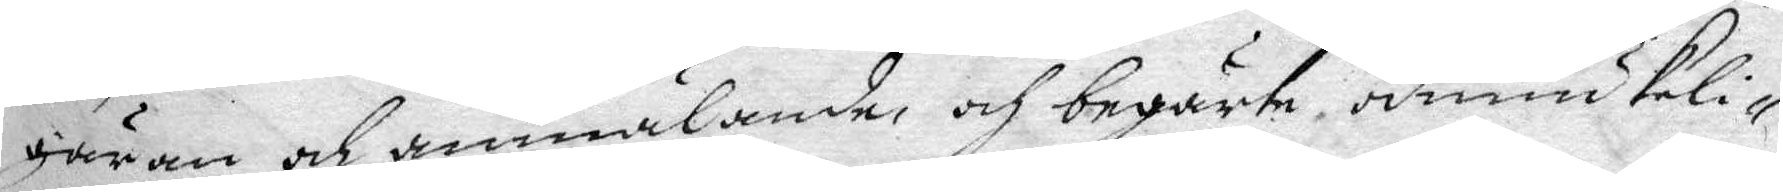gäran och annälande, och begärte ödmiukeli¬
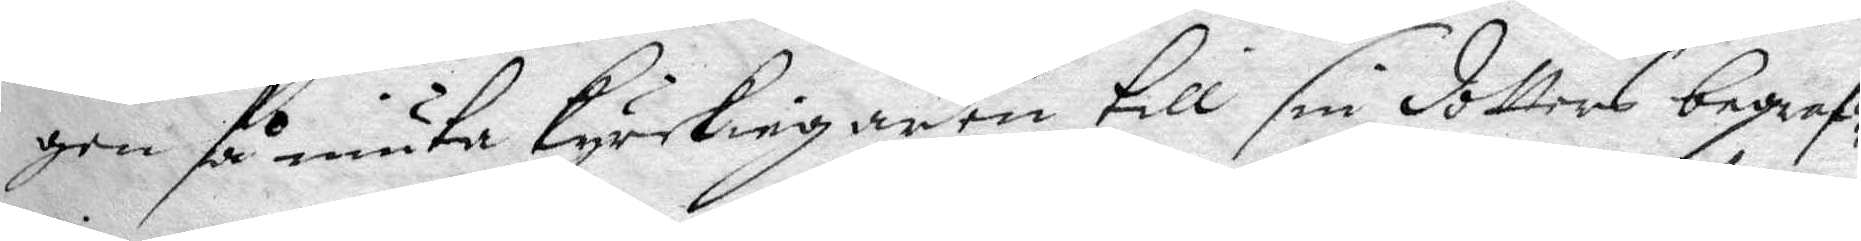gen få niuta kyrckiegården till sin dotters begraf¬
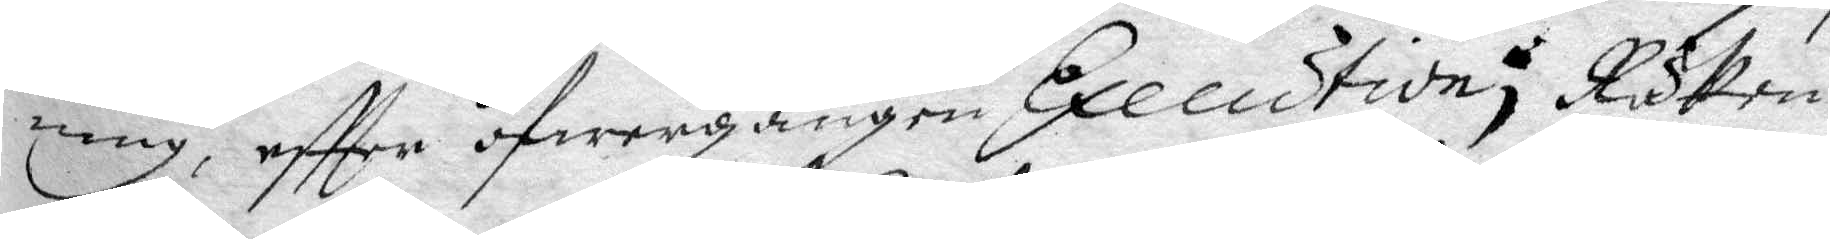ning, eftter öfwergången Execution; Rätten
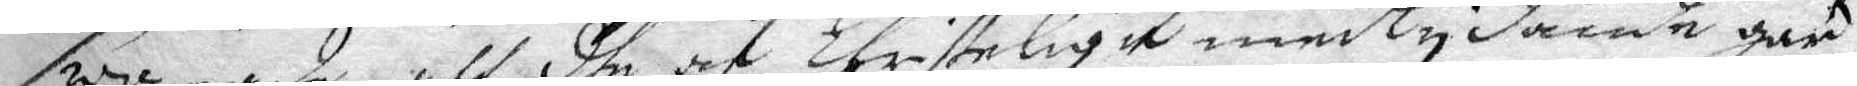swarade att dhe af Christeligt medhlydande gär¬
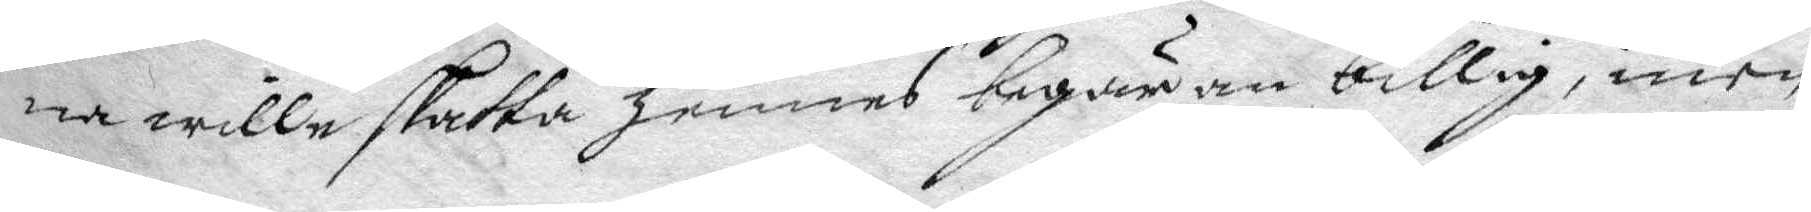na wille skatta hennes begäran billig, men
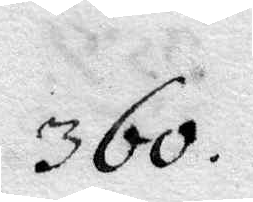360.
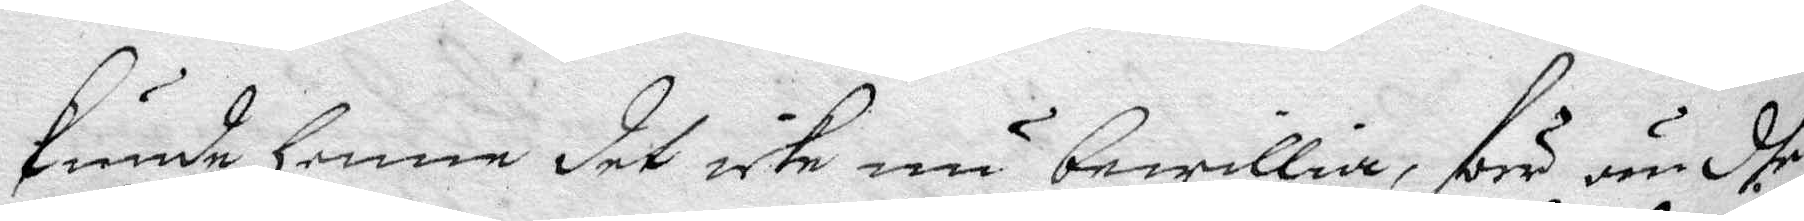kunde henne det icke nu bewillia, förr än dhe
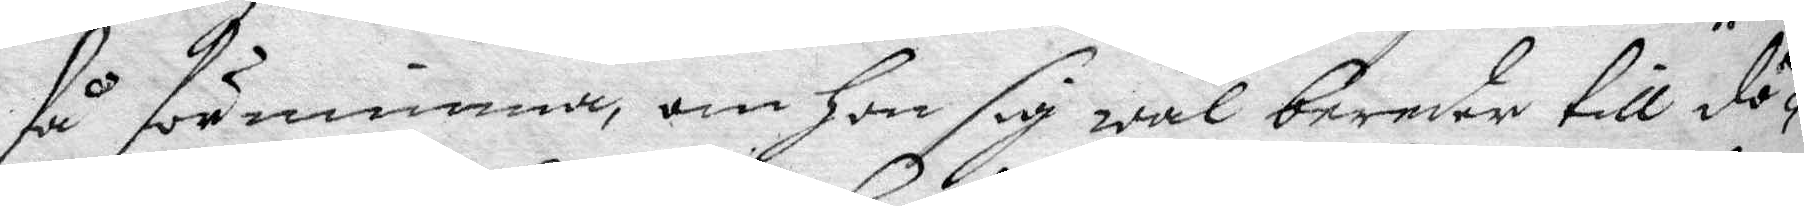så förnimma, om Hon sig wäl bereder till dö¬
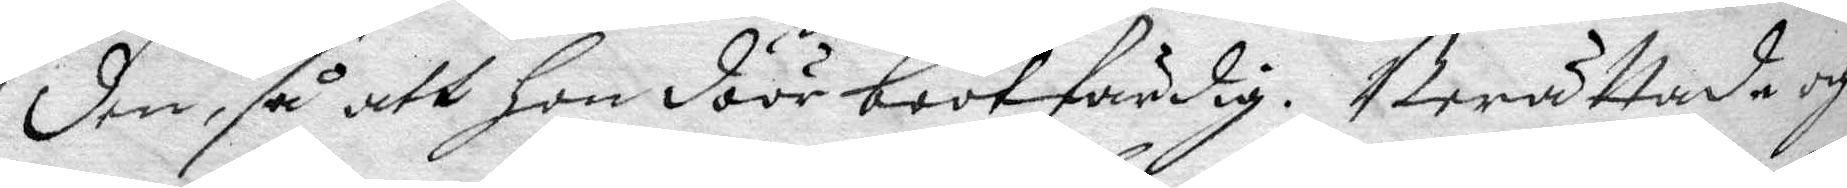den, så att hon döör bootfärdig. Berättade och
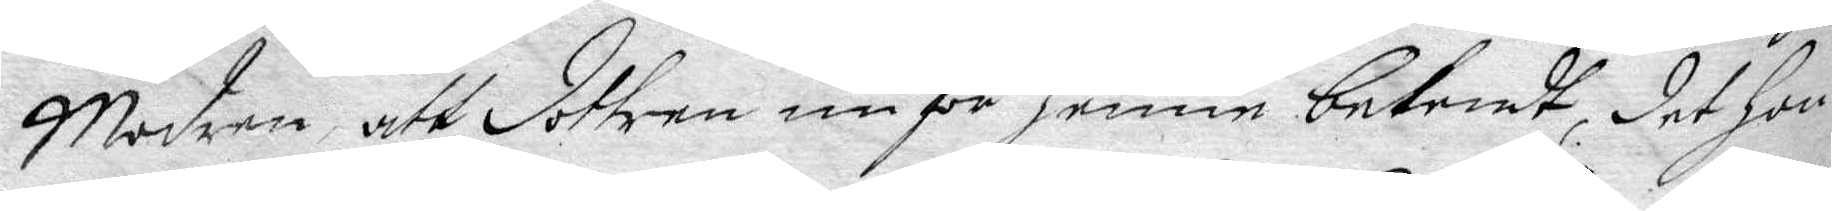Modren, att dottren nu för henne bekendt, det hon
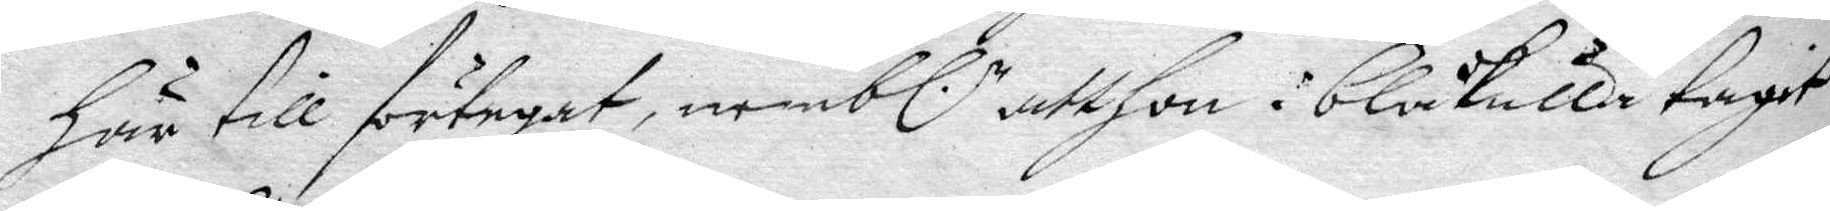här till förtegat, nembl:n att hon i blåkulla tagit
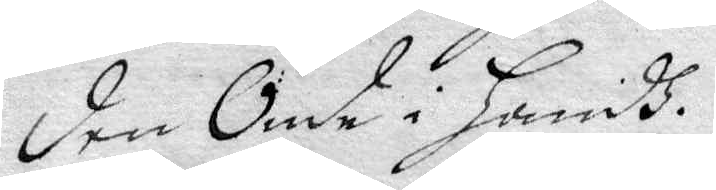den Onde i Handh.
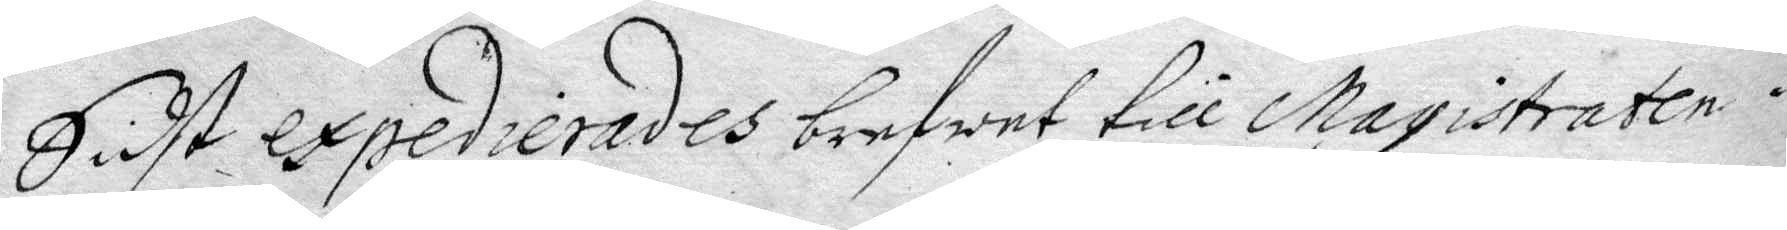Sidst expedierades brefwet till Magistraten i
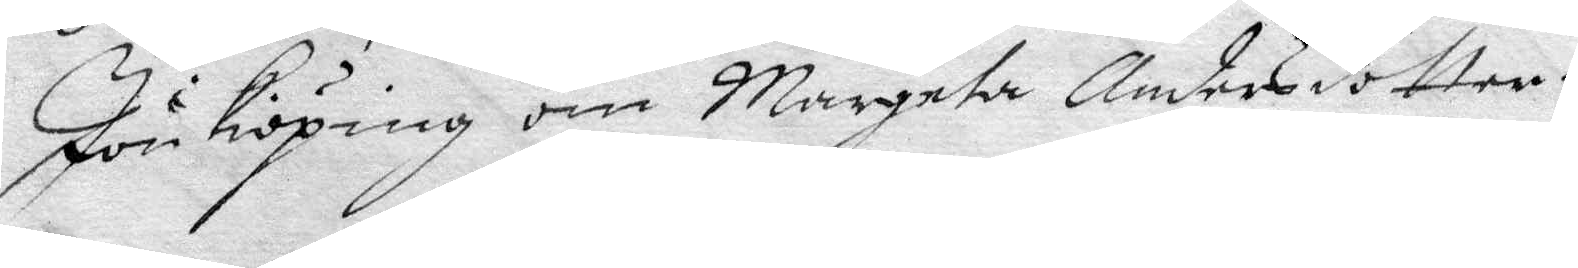Jönkiöping om Margeta Andersdotter.
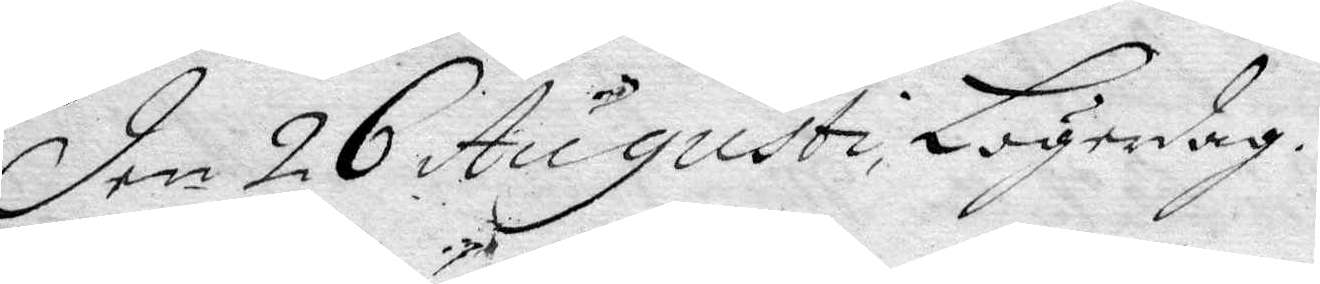Den 26 Augusti, Lögerdag.
